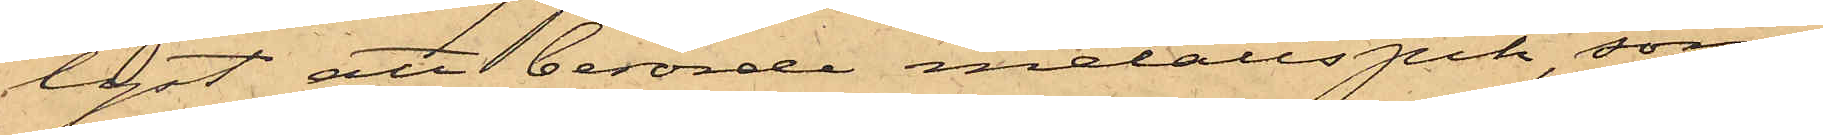lyst att berörde metallspik, som
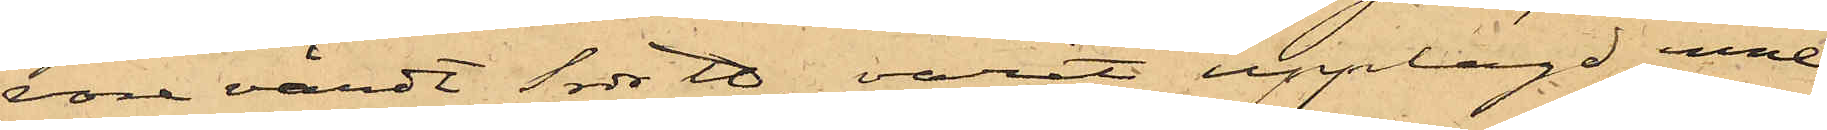vore värdt 1 rdr ℔, varit upplagd inne
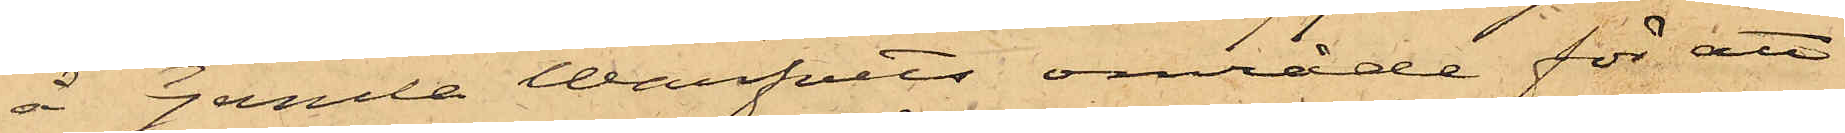å Gamla Warfvets område för att
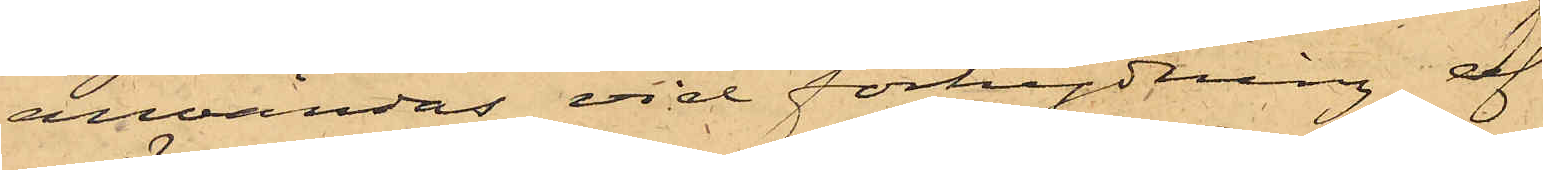användas vid förhydning af
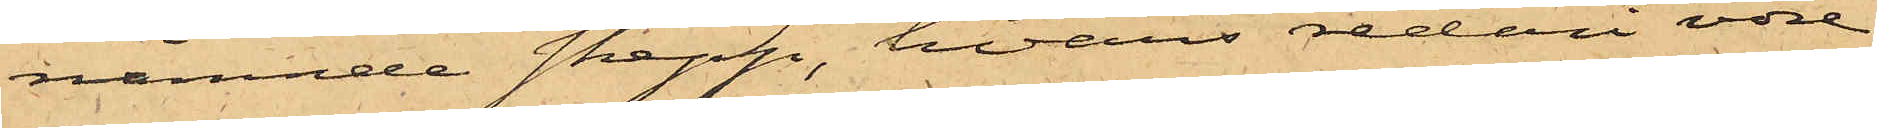nämnde skepp, hvars rederi vore
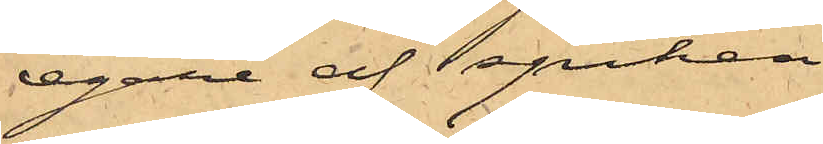egare af spiken
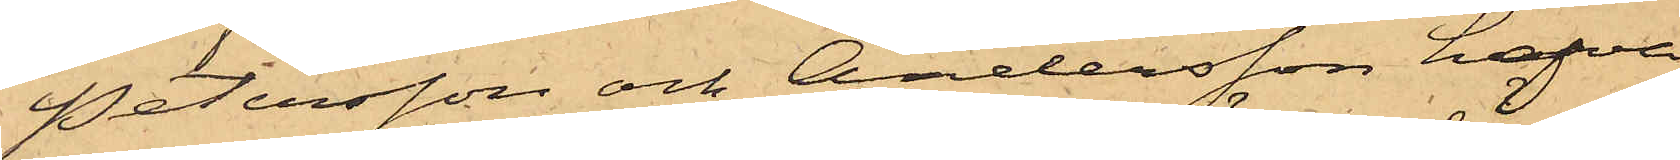Petersson och Andersson hafva
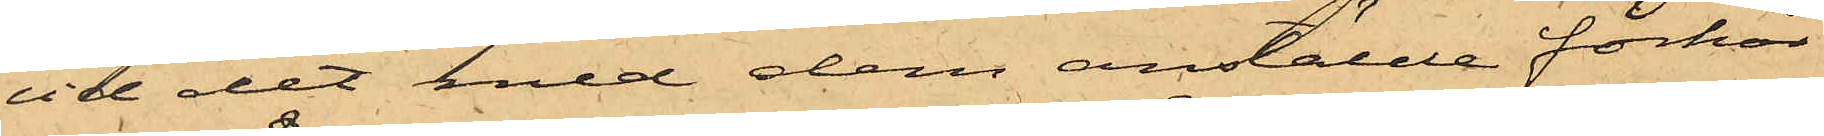vid det med dem anstälde förhör
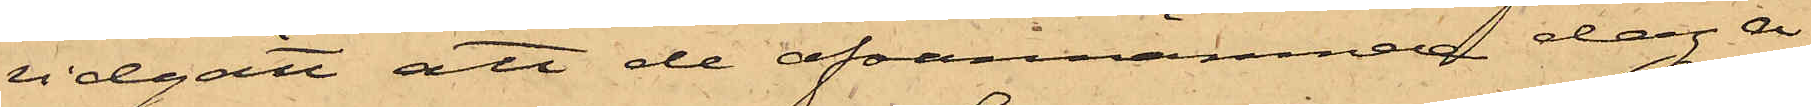vidgått att de ofvannämnde dag å
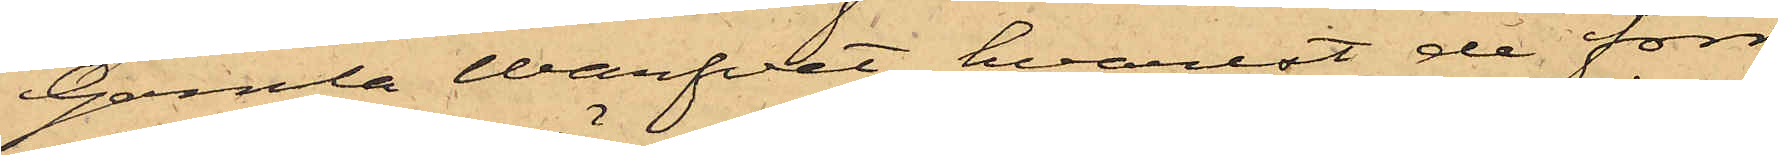Gamla Warfvet, hvarest de förr
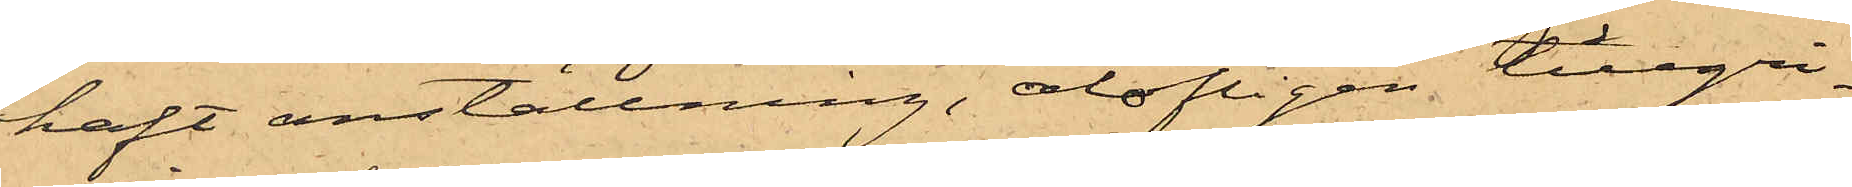haft anställning, olofligen tillgri¬
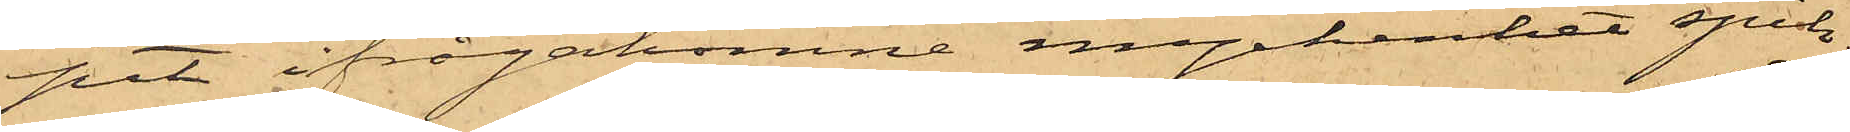pit ifrågakomne myckenhet spik.
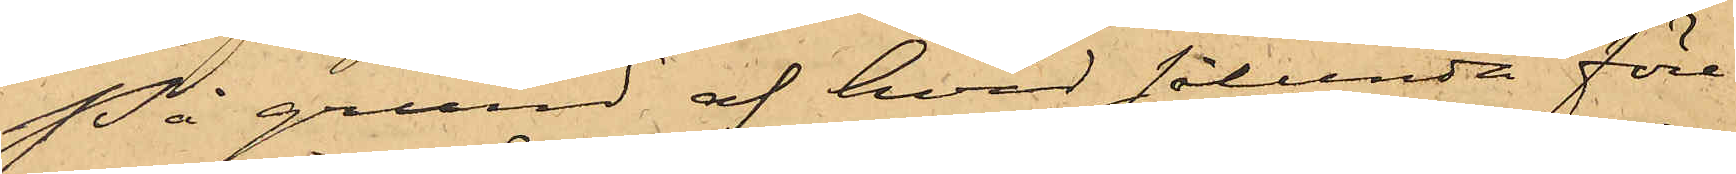På grund af hvad sålunda före¬
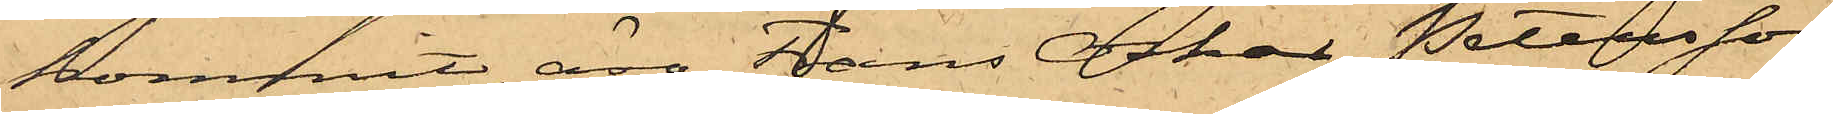kommit, äro Frans Oskar Petersson
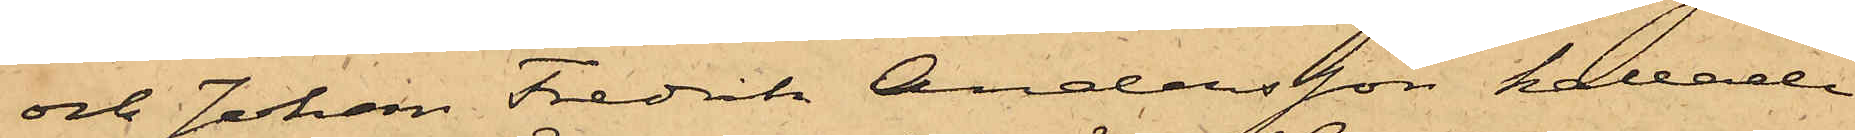och Johan Fredrik Andersson kallade
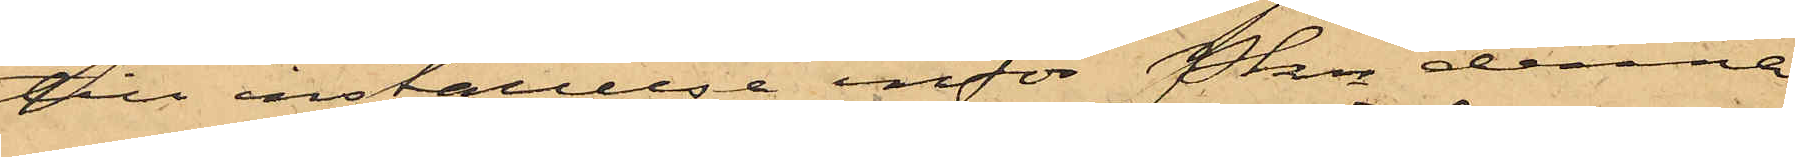till inställelse inför Pkn denna
